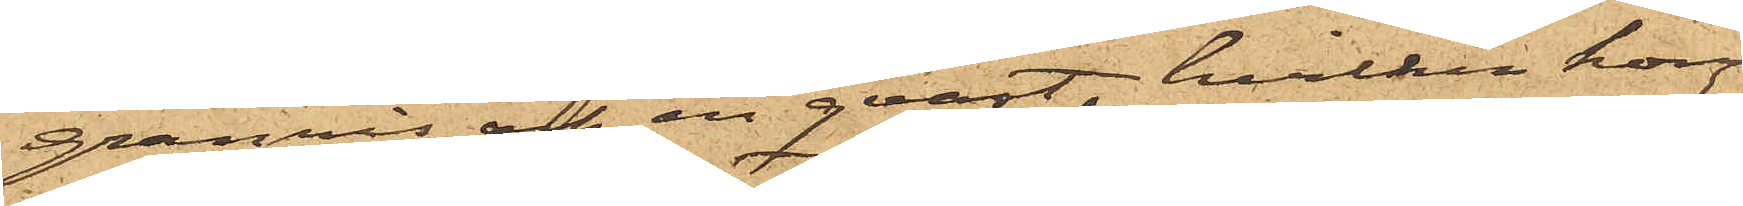granris och en qvast, hvilken hon
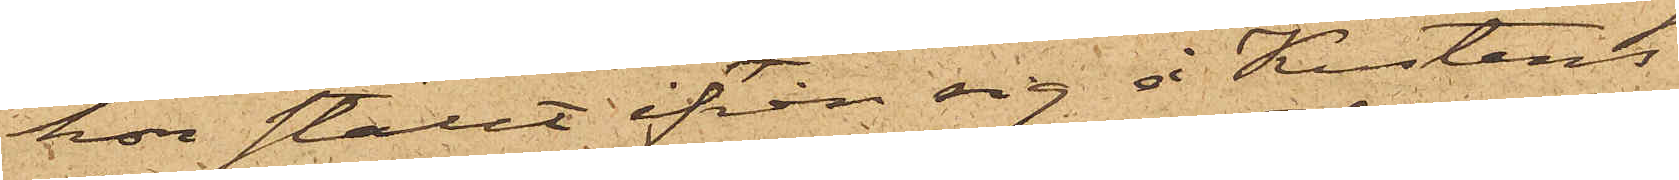hon ställt ifrån sig å Kustens
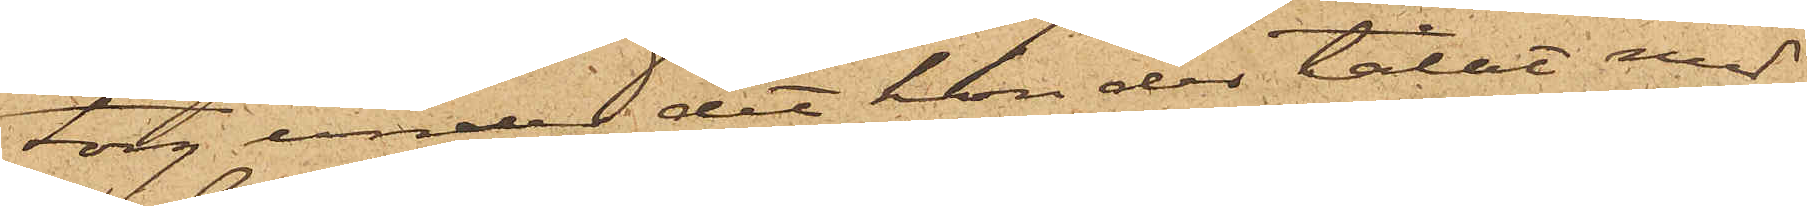torg under det hon der talat med
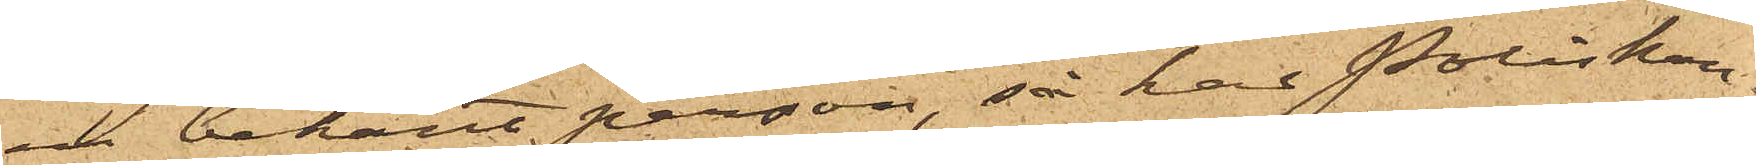en bekant person, så har Poliskon¬
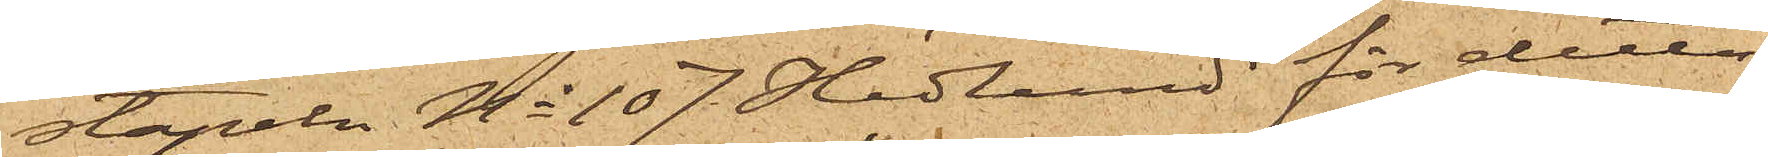stapeln No 107 Hedlund för detta
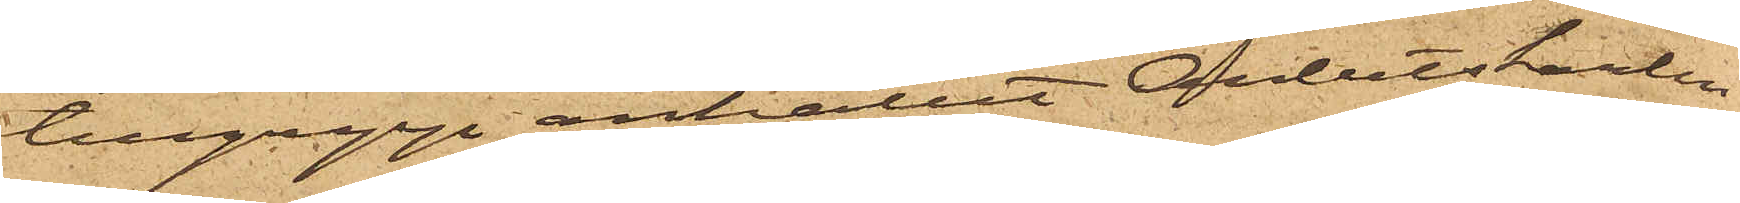tillgrepp anhållit Arbetskarlen
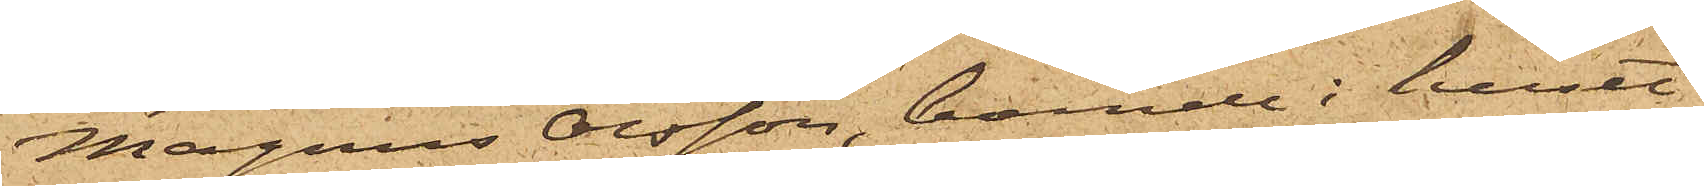Magnus Olsson, boende i huset
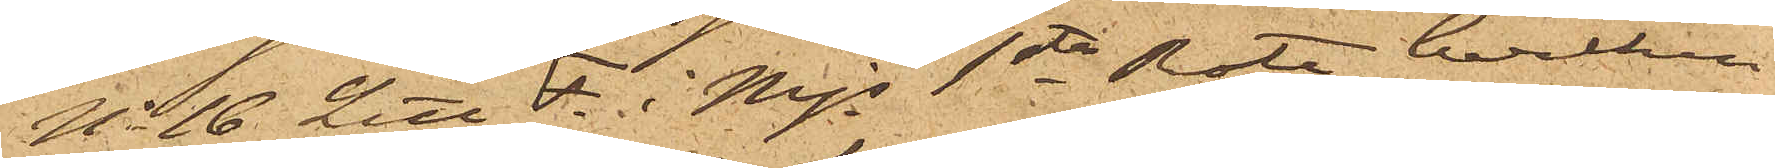No 16 Litt F. i Mjs 1sta Rote, hvilken
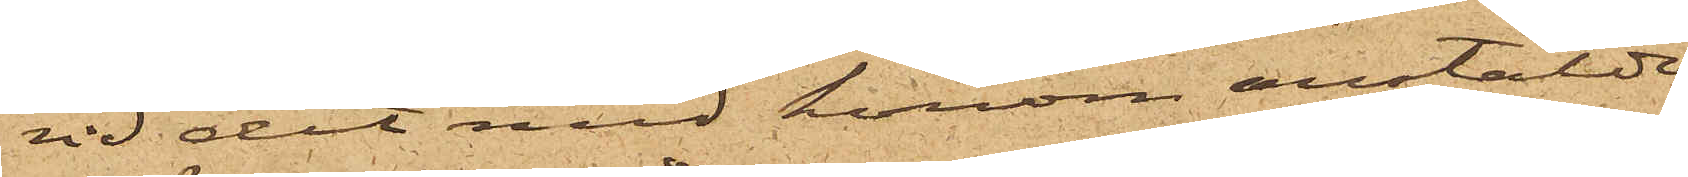vid det med honom anstälde
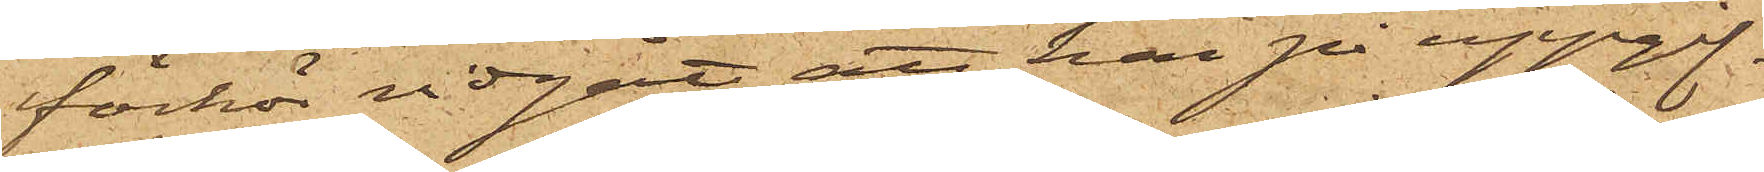förhör vidgått att han på uppgif¬
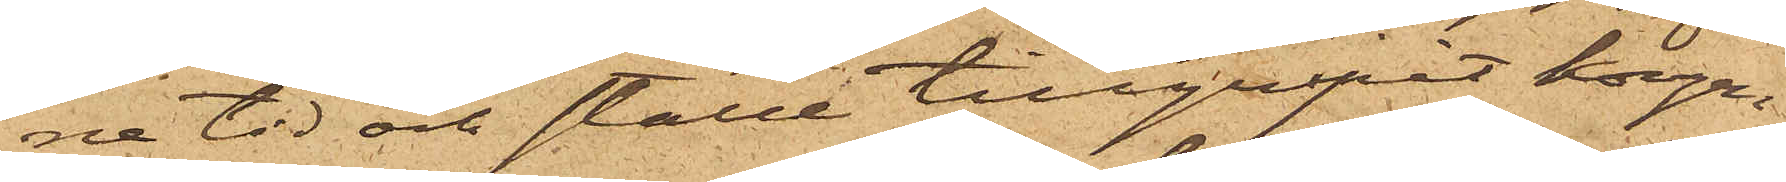ne tid och ställe tillgripit korgen
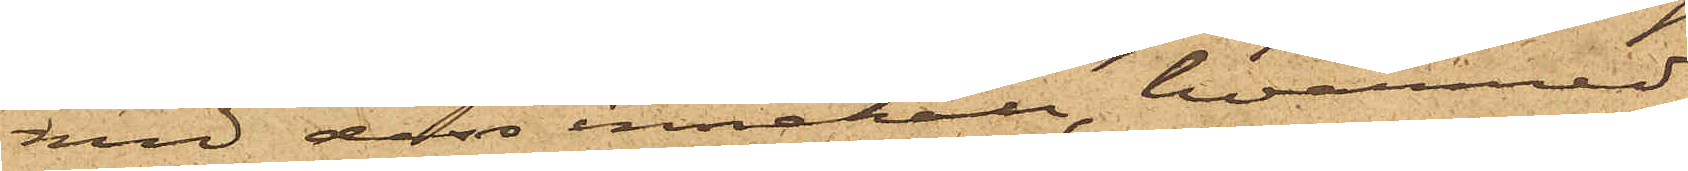med dess innehåll, hvarmed
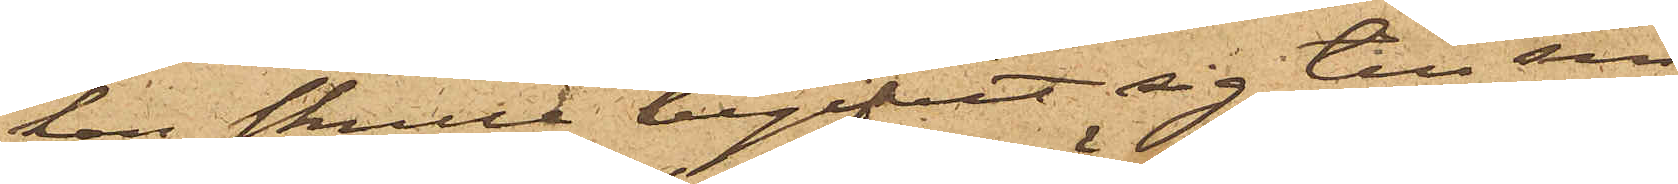han skulle begifvit sig till sin
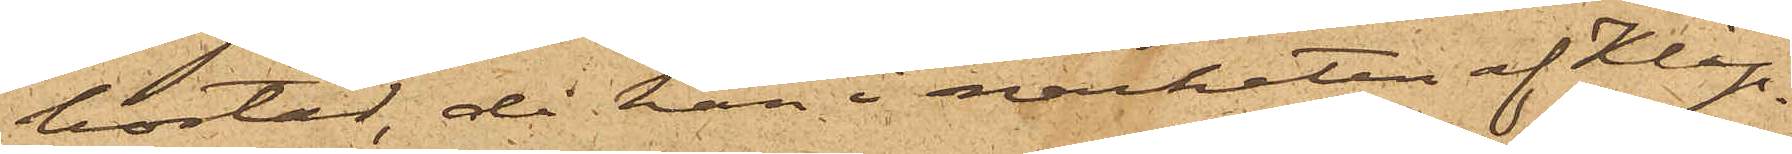bostad, då han i närheten af Klip¬
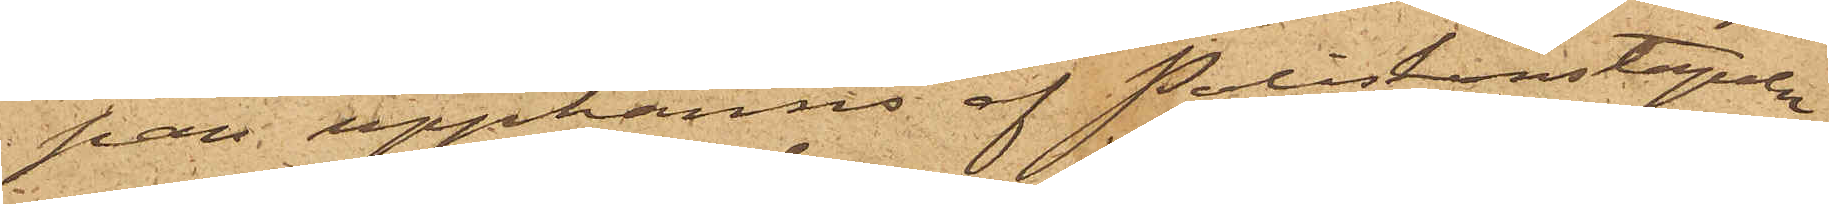pan upphanns af Poliskonstapeln
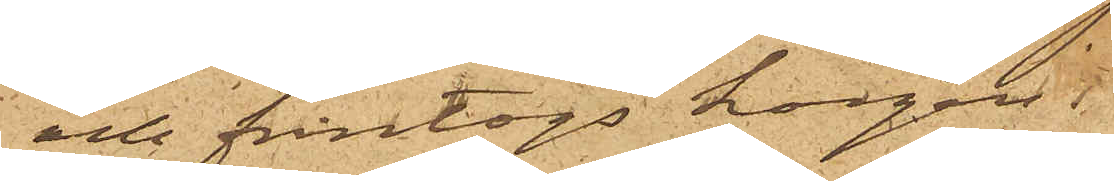och fråntogs korgen.
